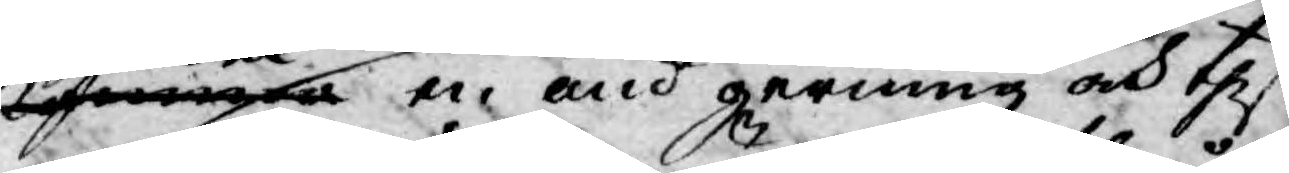kommer en ond gerning och thess
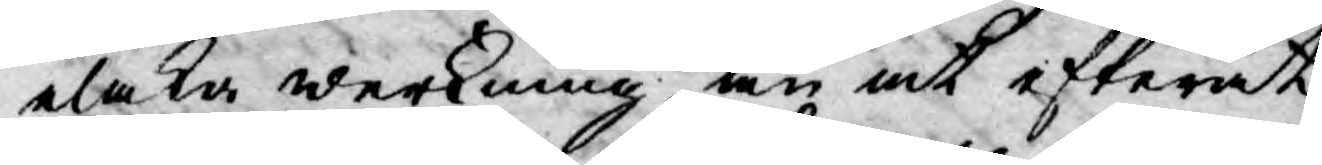elaka werkning, än at efteråt
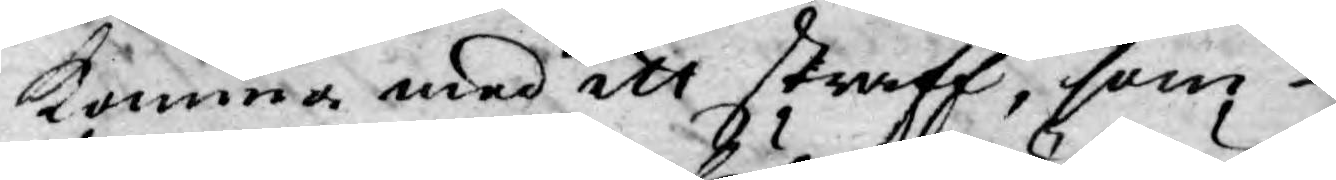komma med ett straff, som
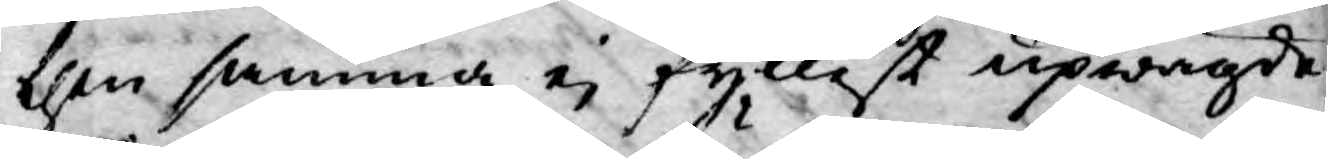then samma ej fyllest upwägde
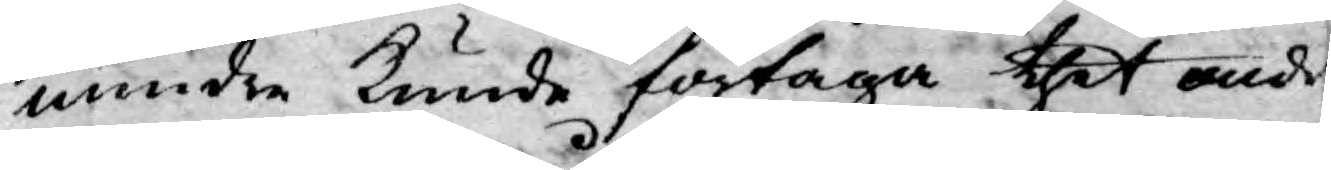mindre kunde förtaga thet onde
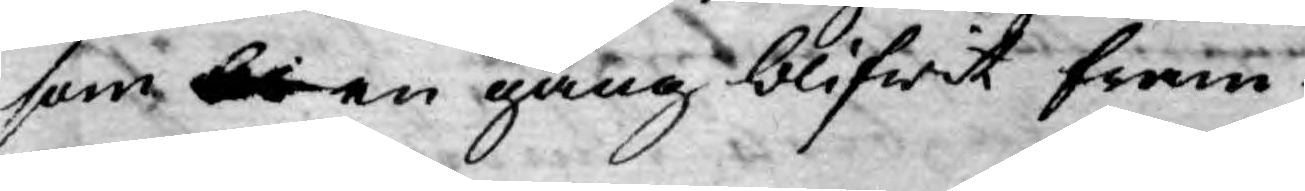som b en gång blifwit fram
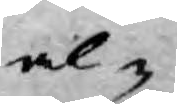al¬
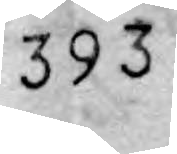393.
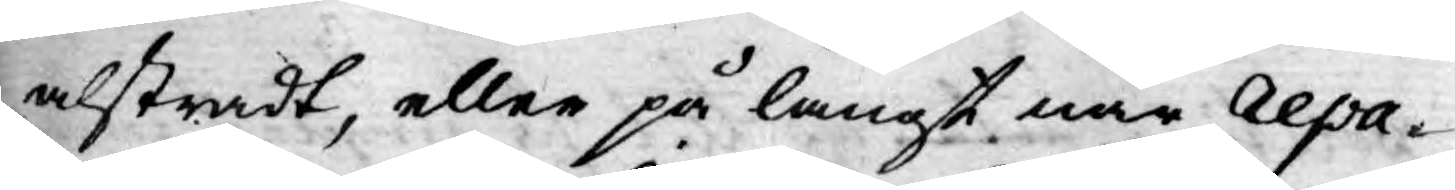alstradt, eller på långt när repa¬
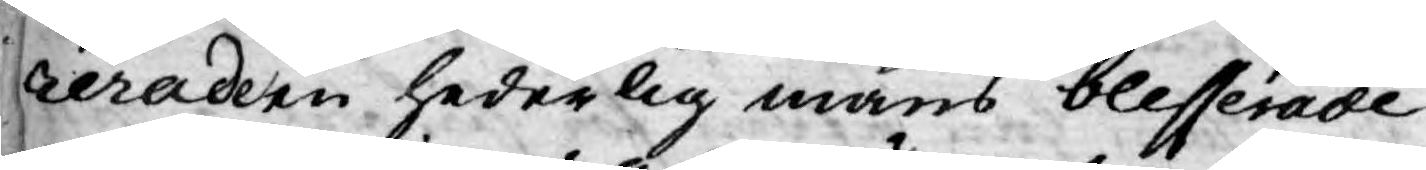reradern hederlig mans blesserade
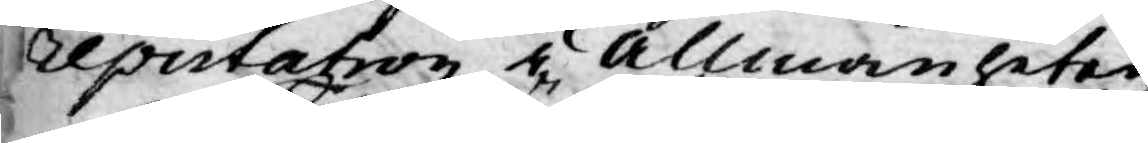reputation i allmänheten.
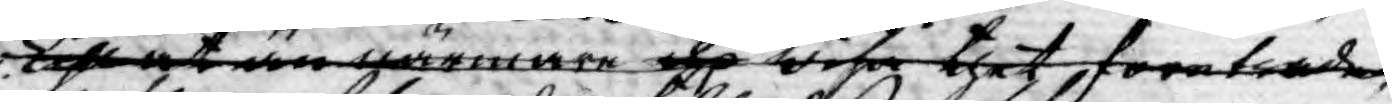Till at än närmare och wisa thet företräde
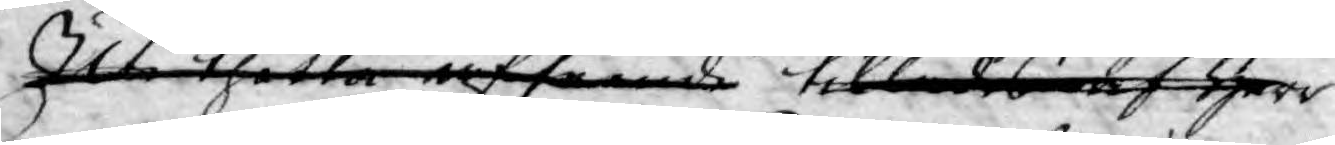Uti thetta afseende tillades af Herr
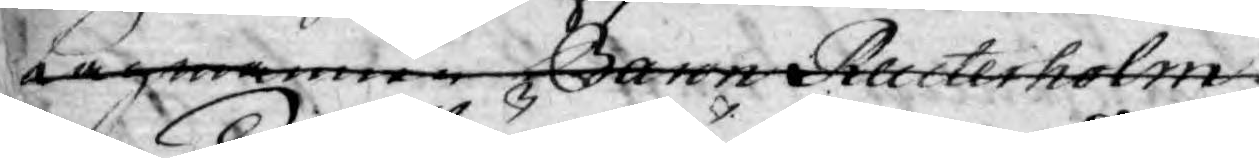Lagmannen Baron Reuterholm
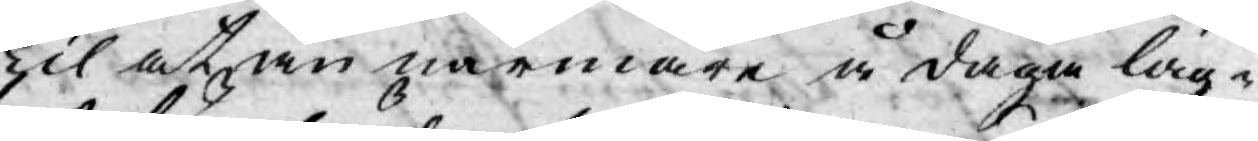Til at än närmare å daga läg¬
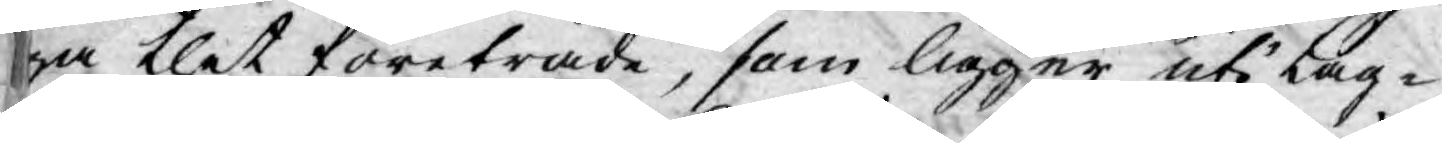ga thet företräde, som ligger uti Lag¬
